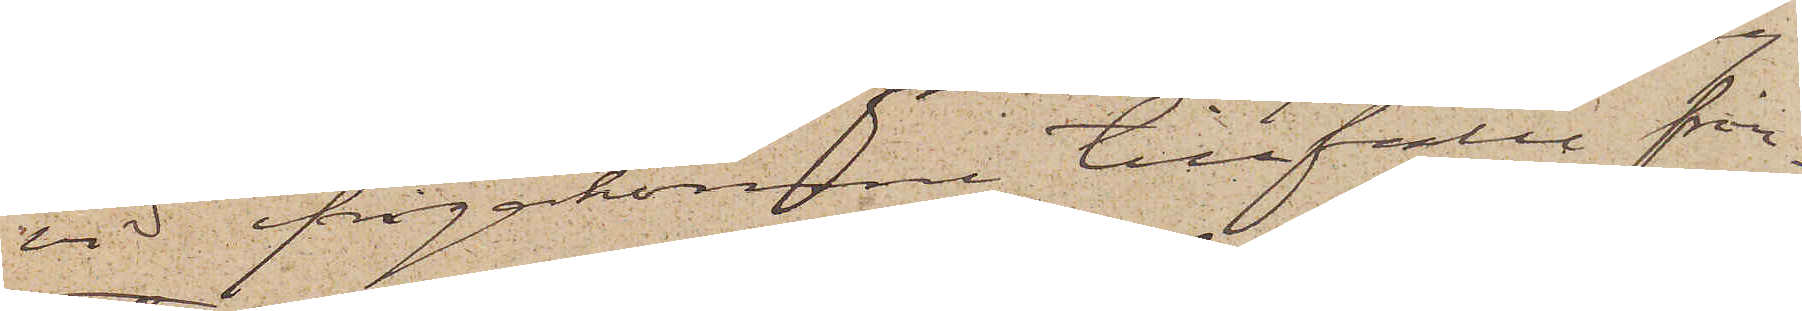vid ifrågakomne tillfälle från¬
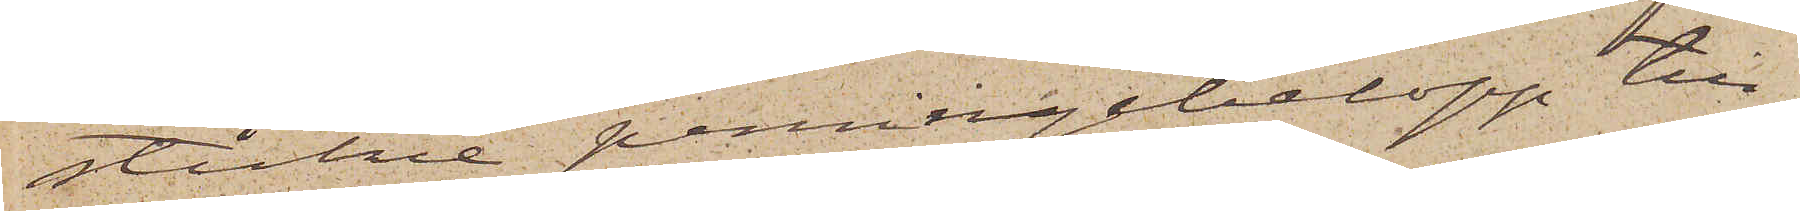stulne penningebelopp till¬
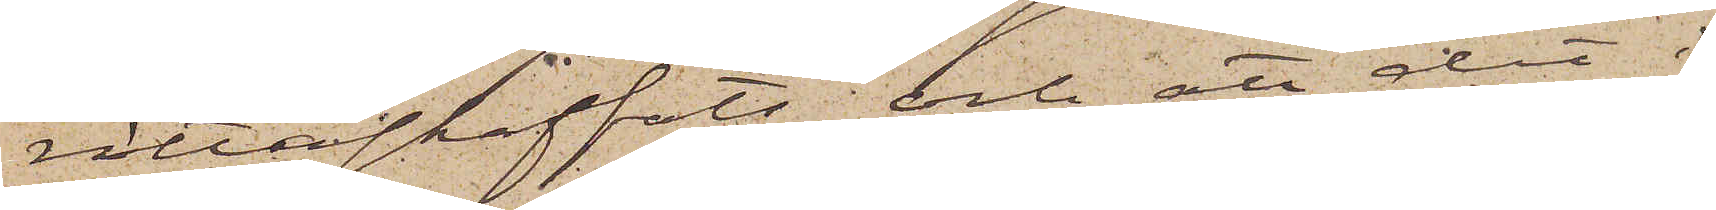rättaskaffats och att det i
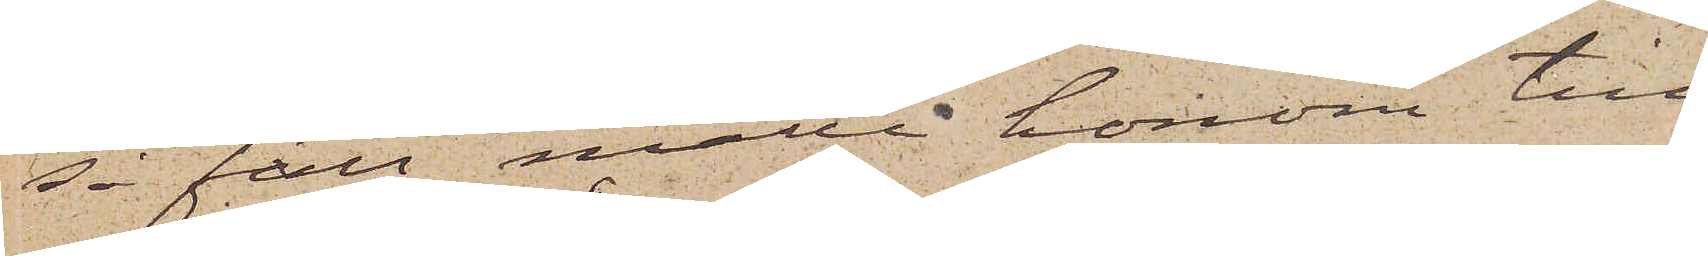så fall måtte honom till¬
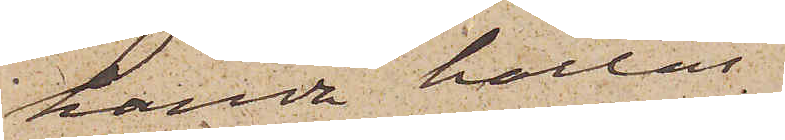handa hållas.
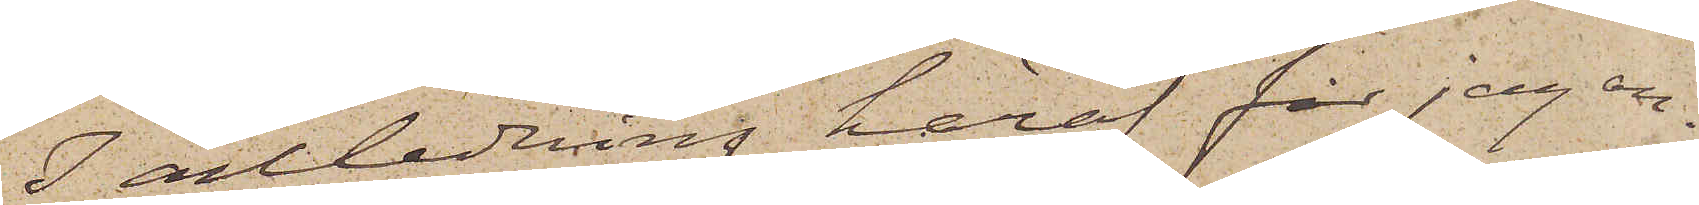I anledning häraf får jag an¬
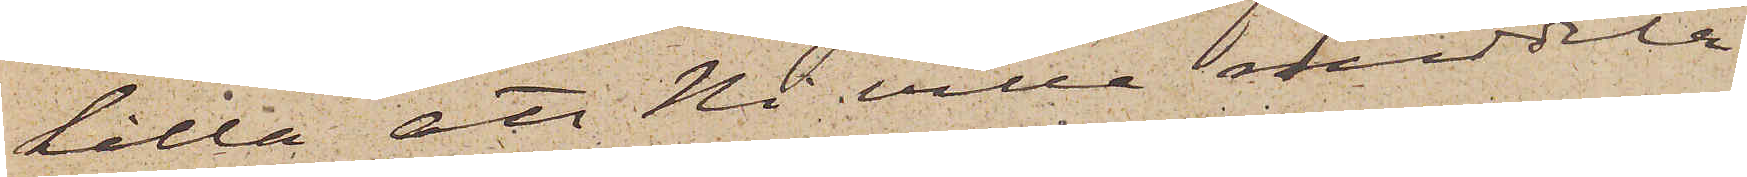hålla att Ni ville meddela
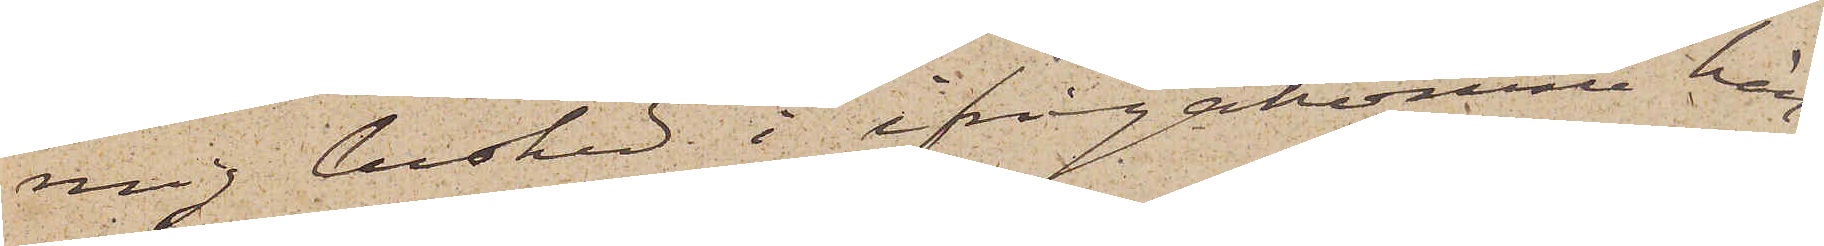mig besked i ifrågakomne hän¬
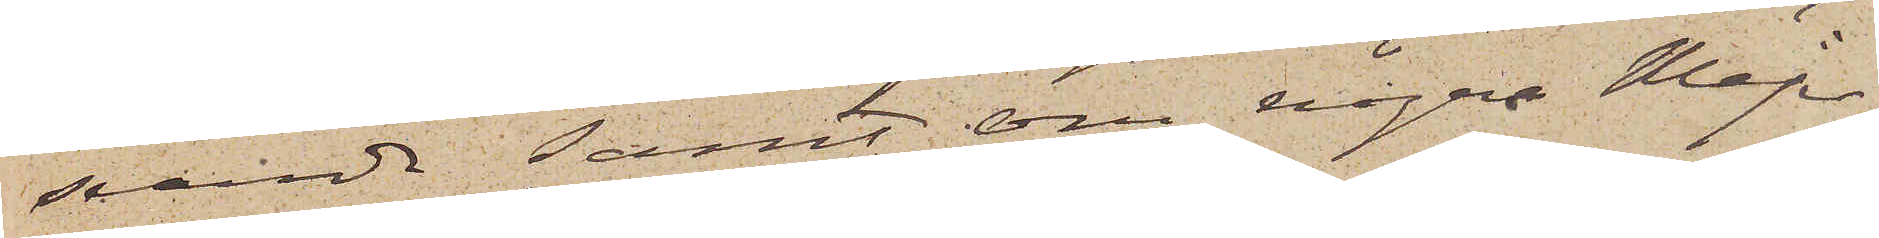seende, samt, om några Mejer¬
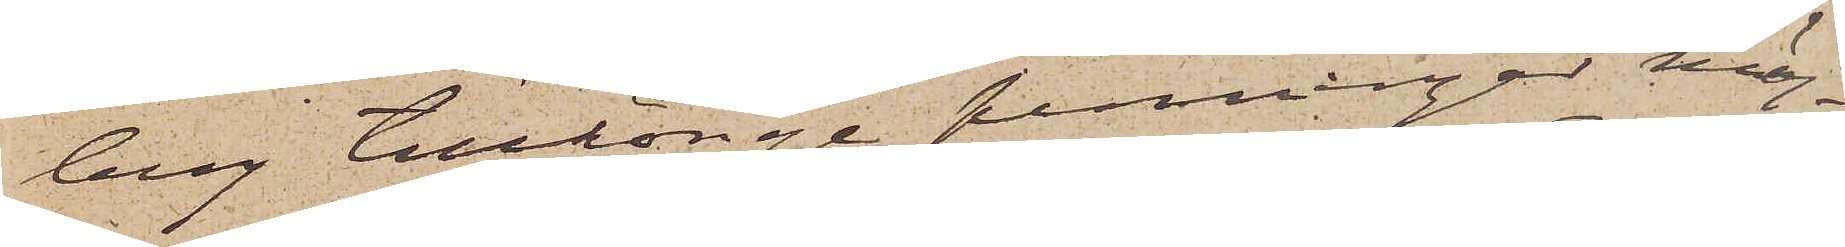berg tillhörige penningar möj¬
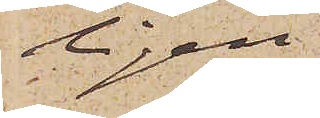ligen
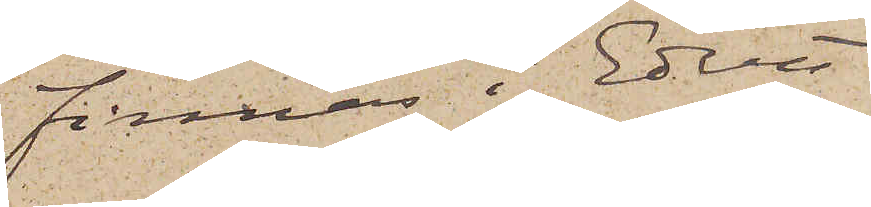finnas i Edert
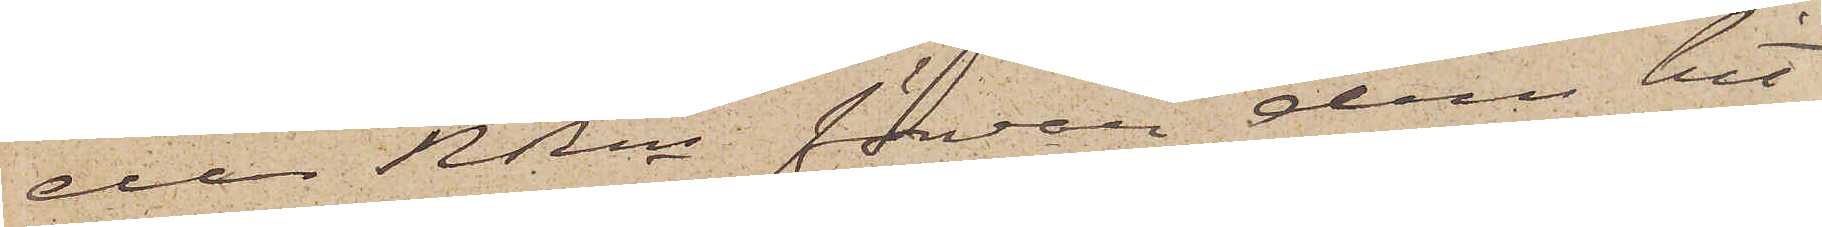eller RRns förvar, dem hit¬
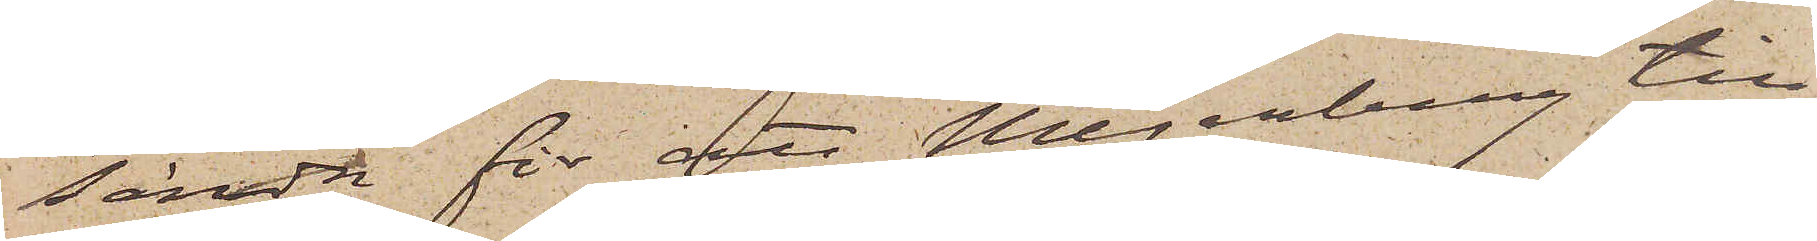sända för att Mejerberg till¬
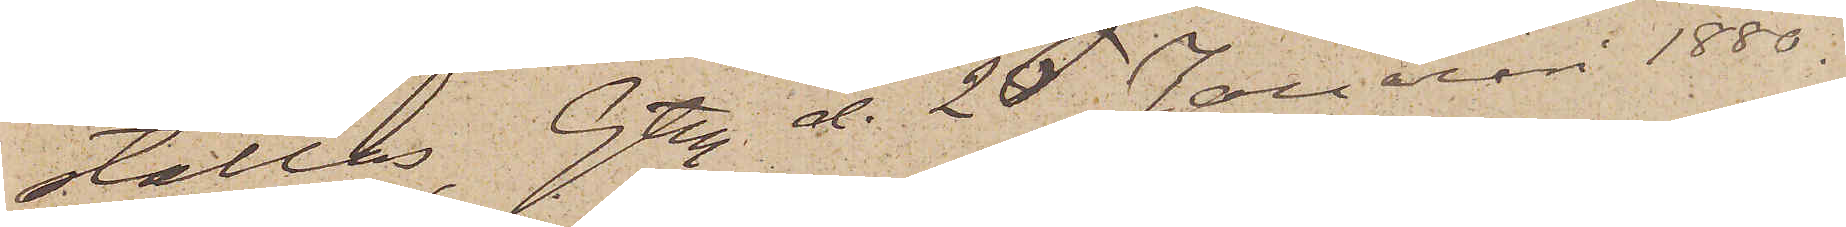ställas. Gtbg d. 26 Januari 1880.
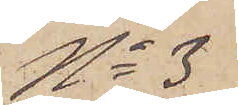No 3
